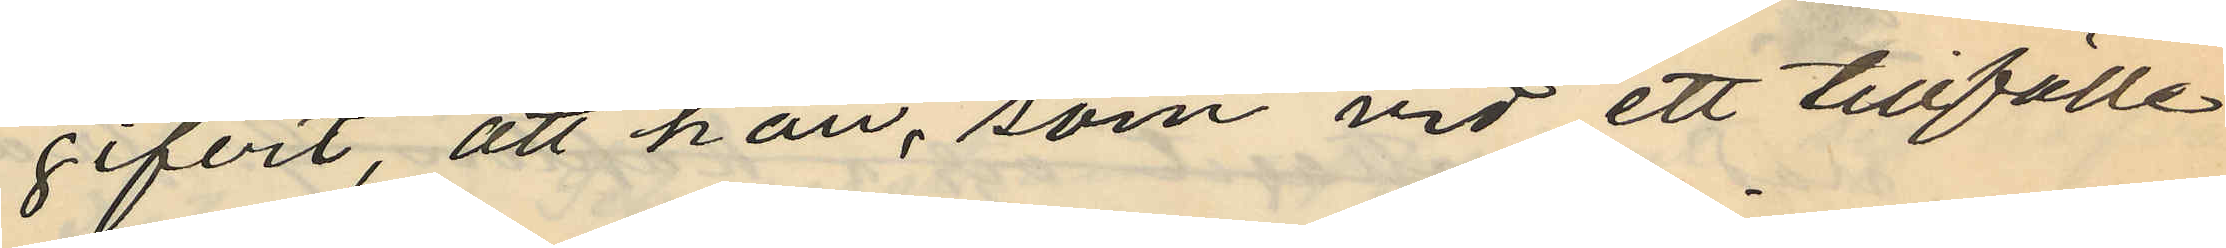gifvit, att han, som vid ett tillfälle
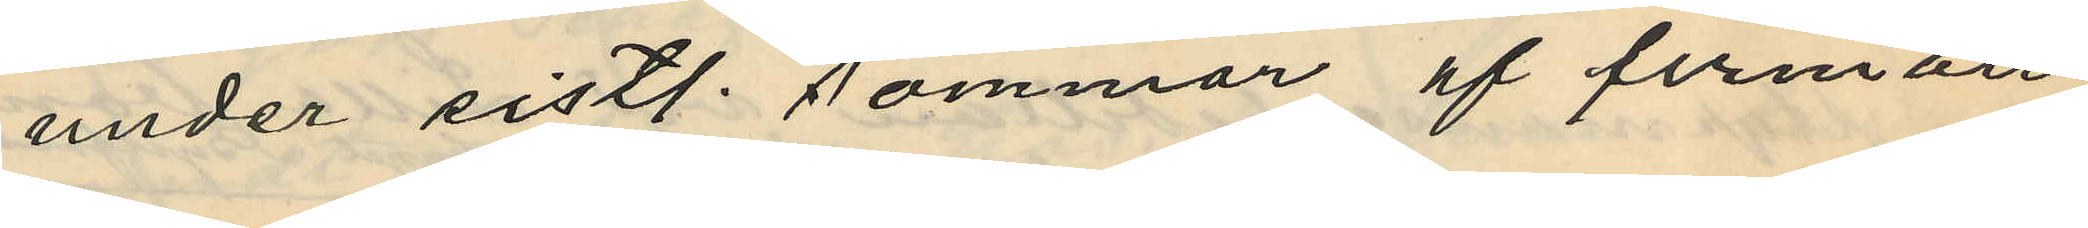under sistl. sommar af firman
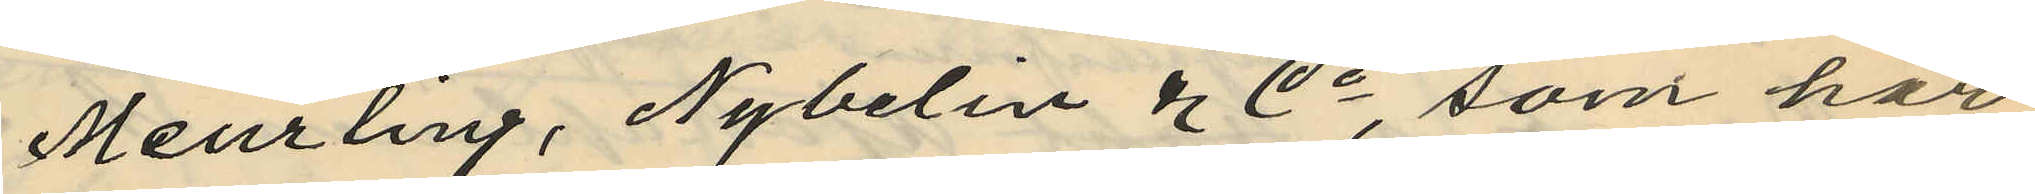Meurling, Nybelin & Co, som har
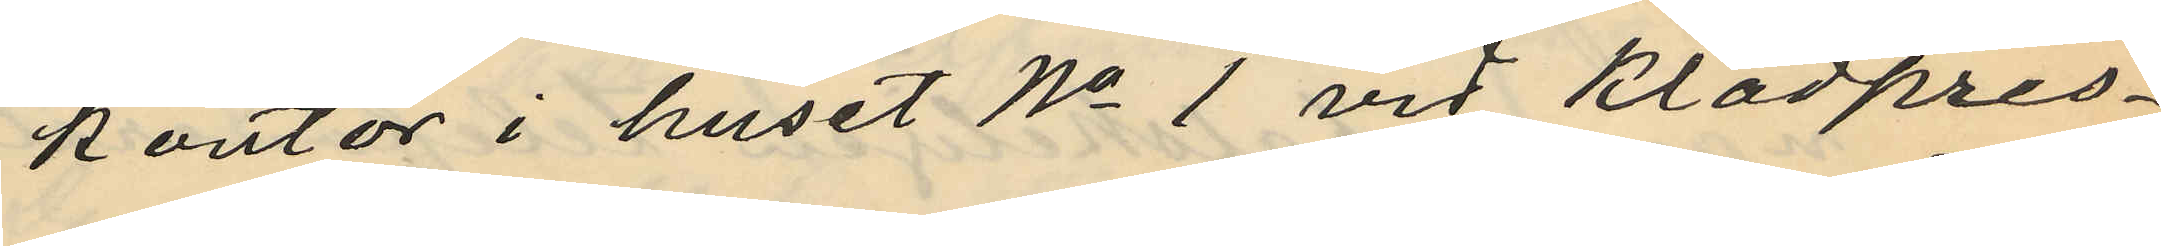kontor i huset No 1 vid Klädpres¬
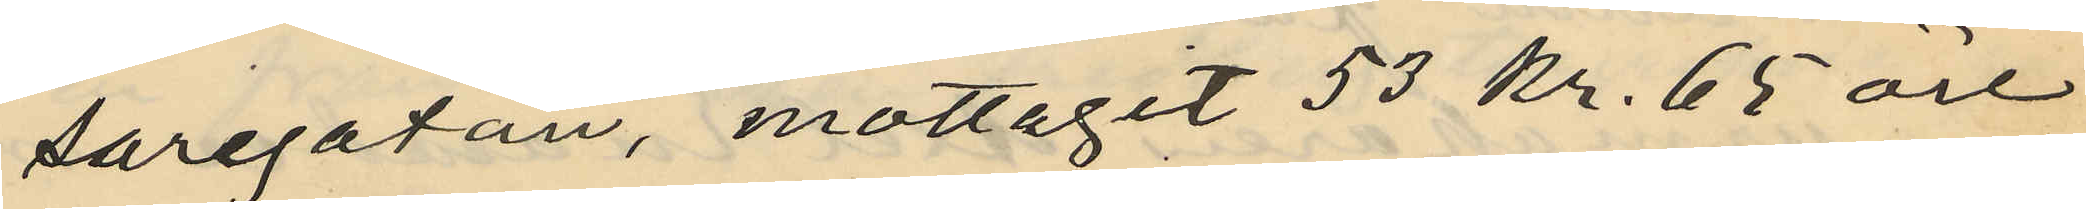saregatan, mottagit 53 kr. 65 öre
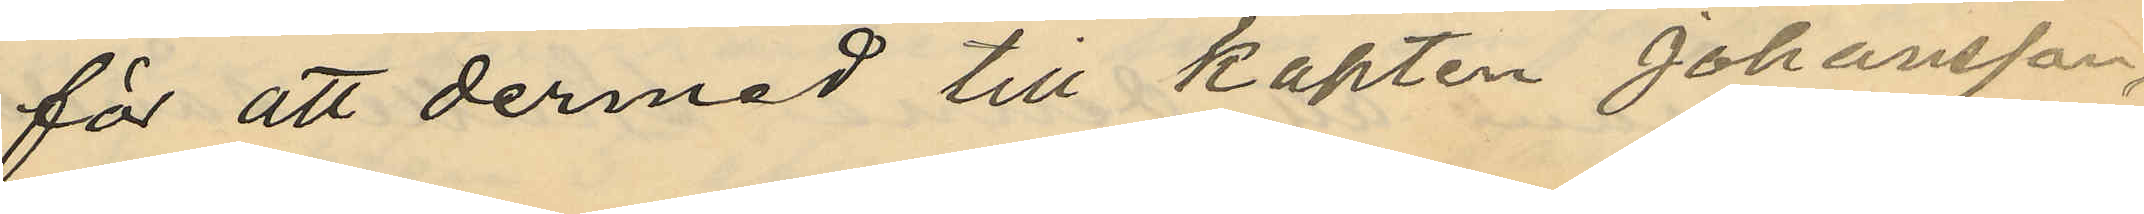för att dermed till kapten Johansson,
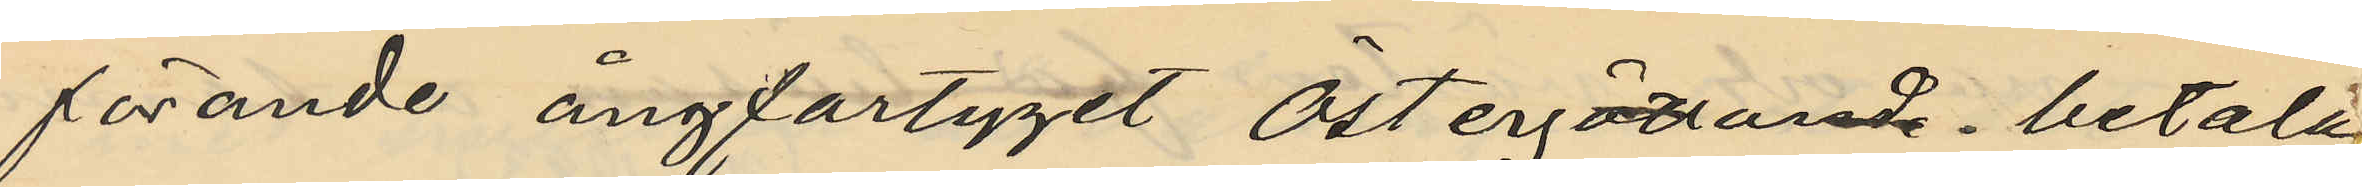förande ångfartyget Östergötland. betala
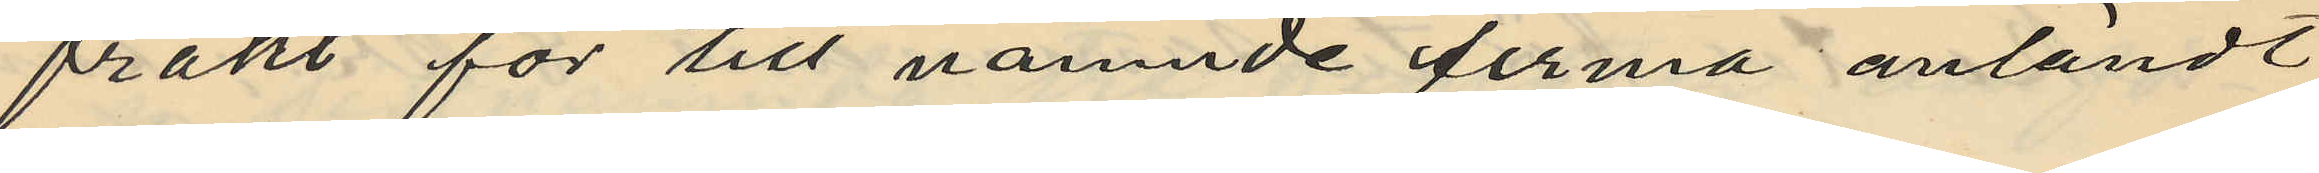frakt för till nämnde firma anländt
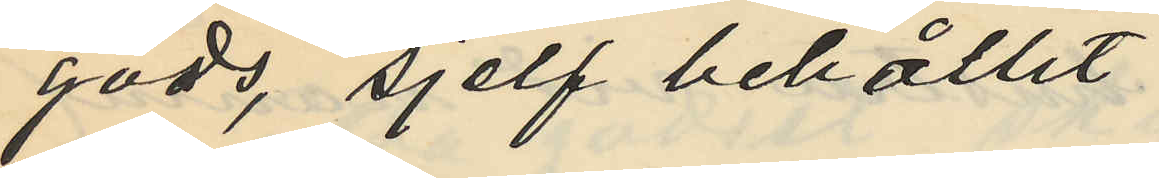gods, sjelf behållit
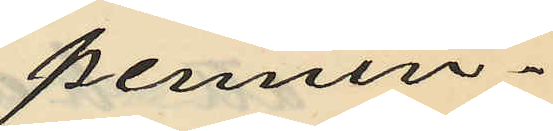pennin¬
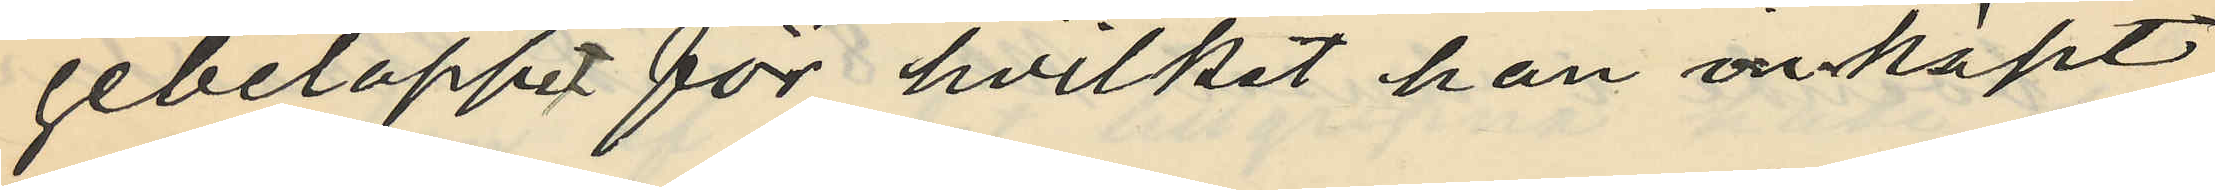gebeloppet för hvilket han inköpt
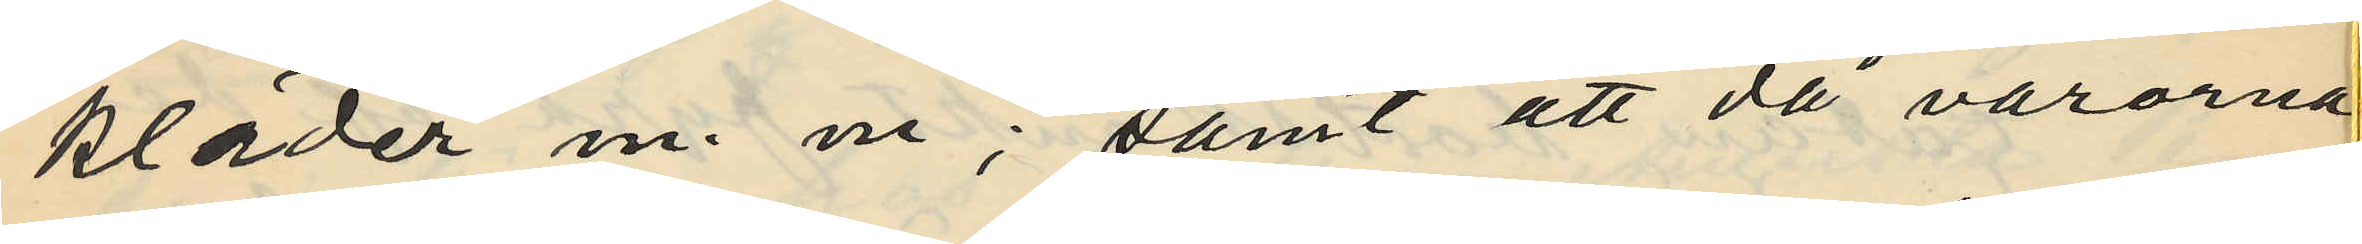kläder m. m; samt att då varorna
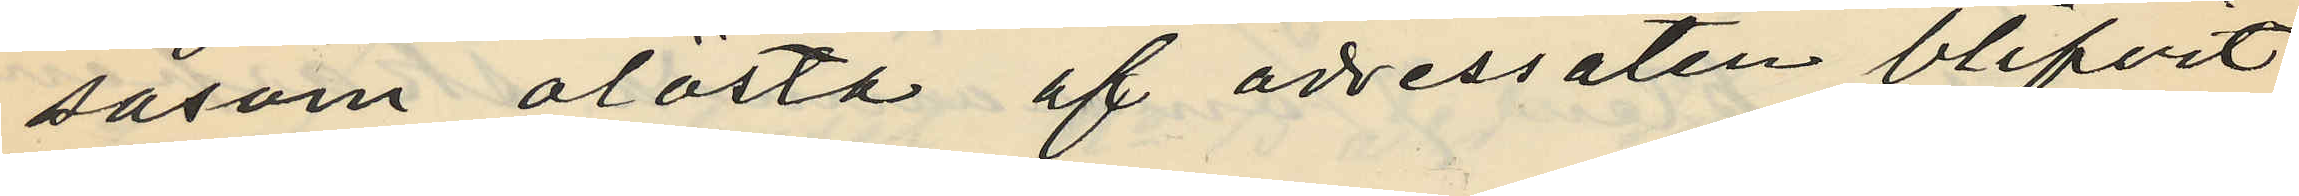såsom olösta af adressaten blifvit
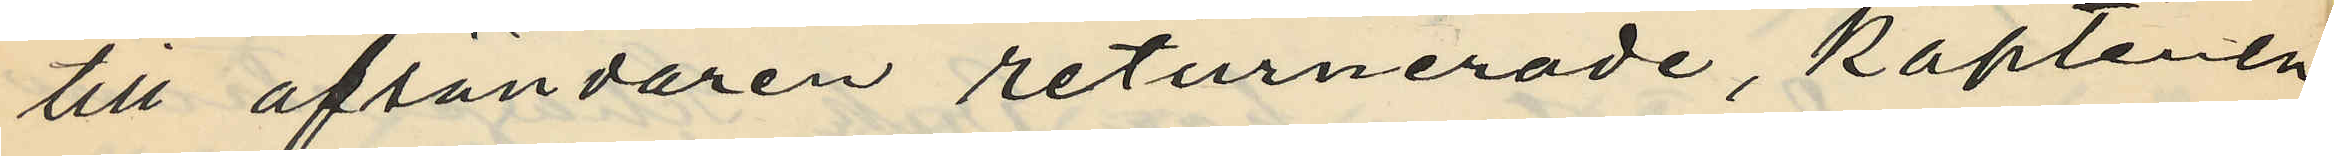till afsändaren returnerade, kaptenen
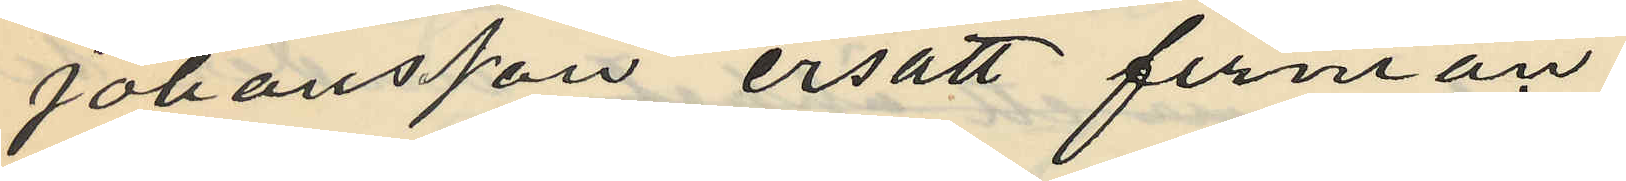Johansson ersatt firman
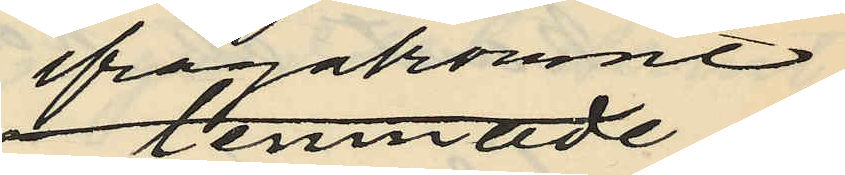ifrågakomne
